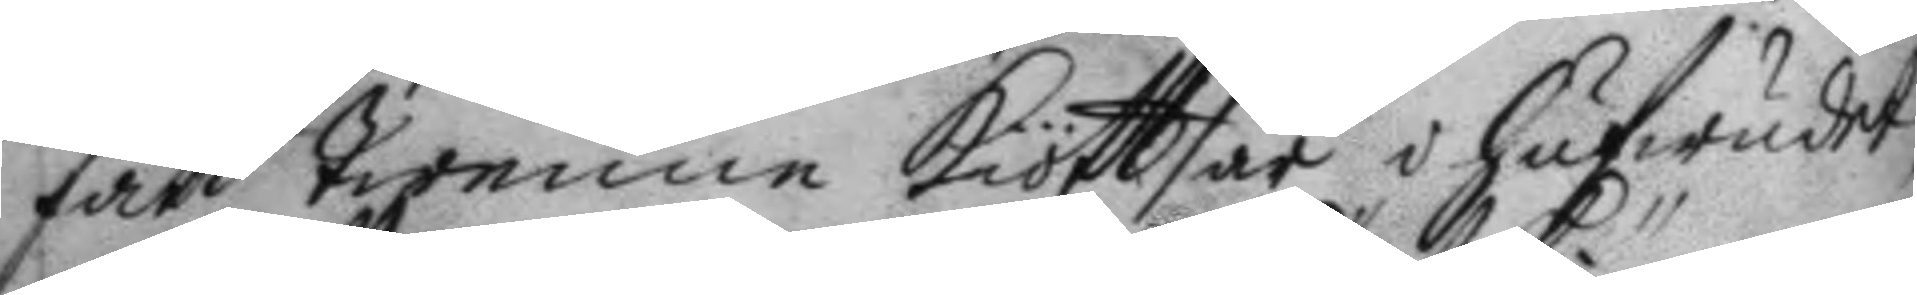fått twenne kiöttsår i hufwudet,
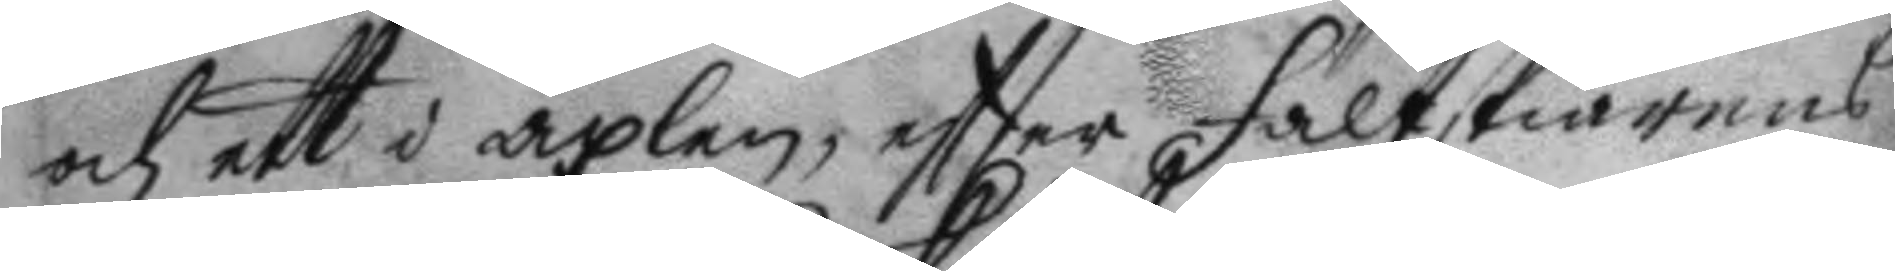och ett i axlen, eftter fältskiärens
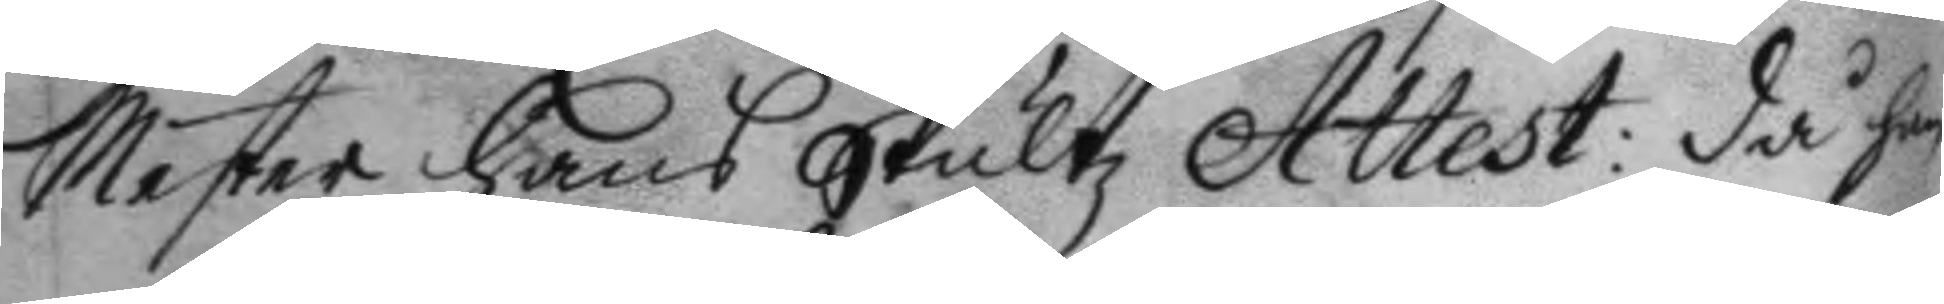Mester Hans Skultz Attest: då han
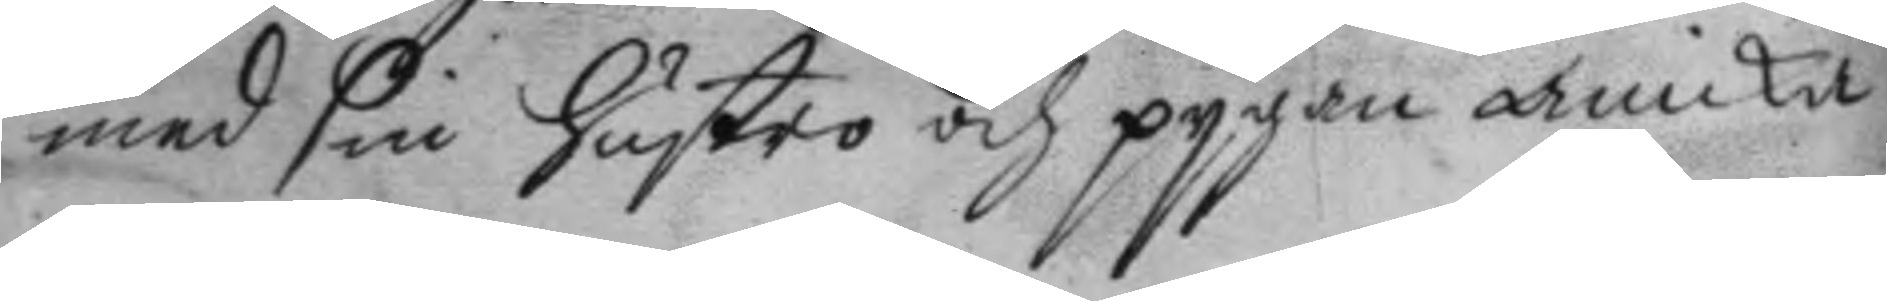med sin hustro och pygan Anicka
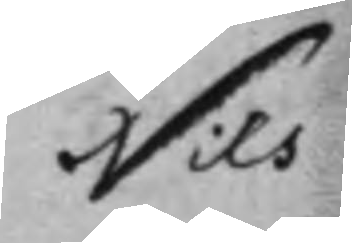Nils
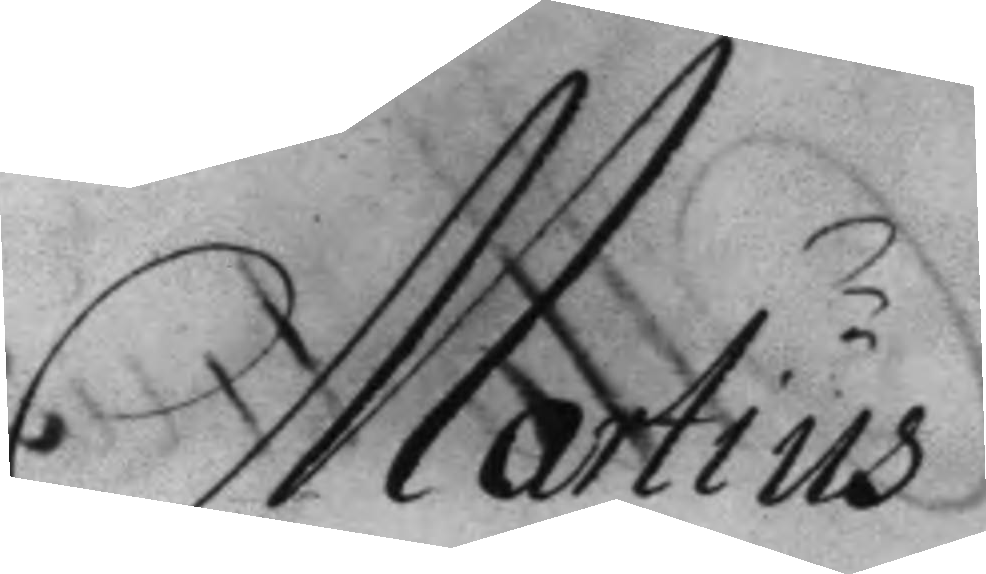Martius
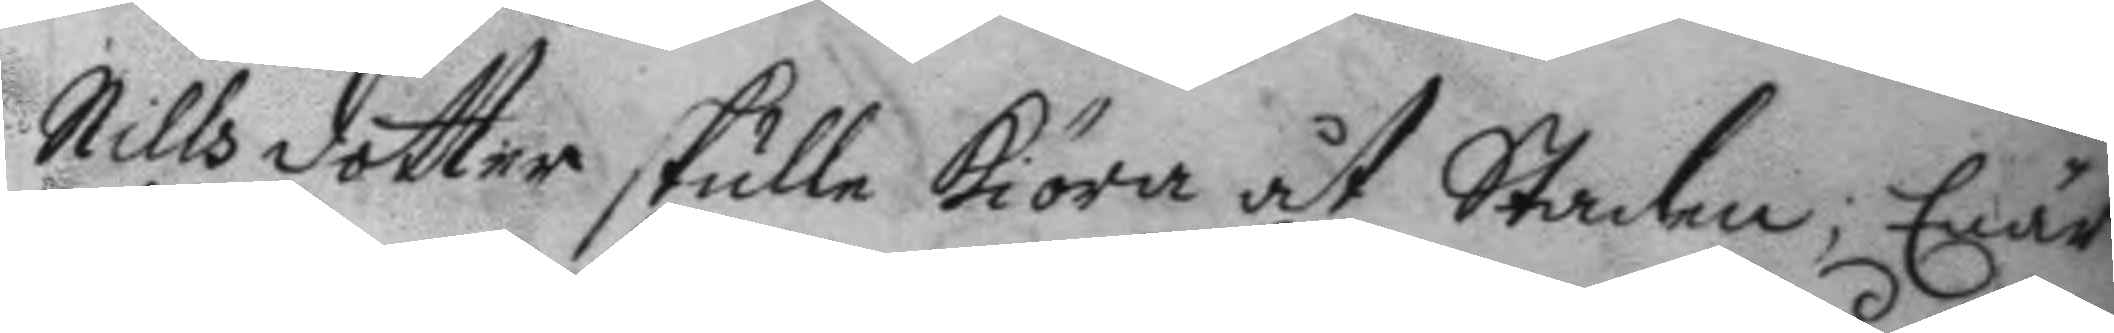Nilsdotter skulle kiöra åt Staden; Enär
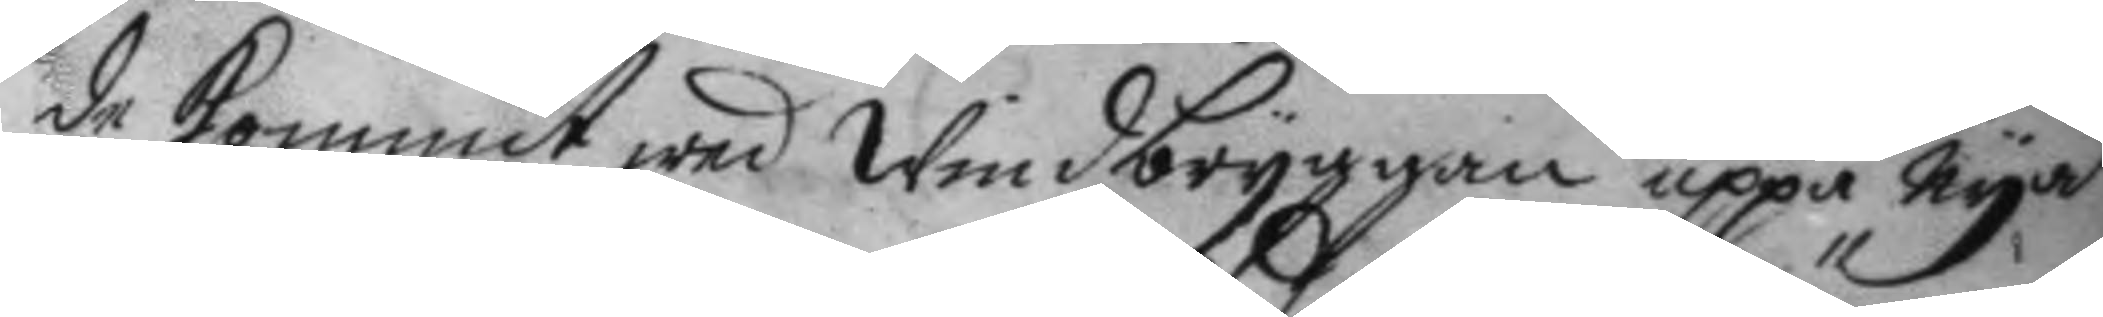de kommit wed Windbryggan uppå Nya
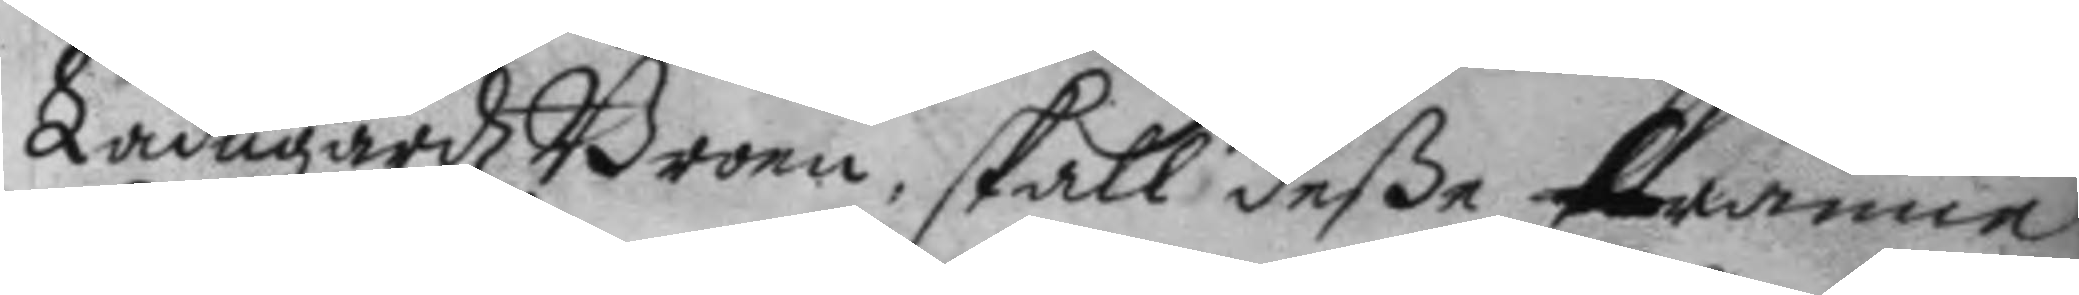LadugårdzBroen, skall deße twänne
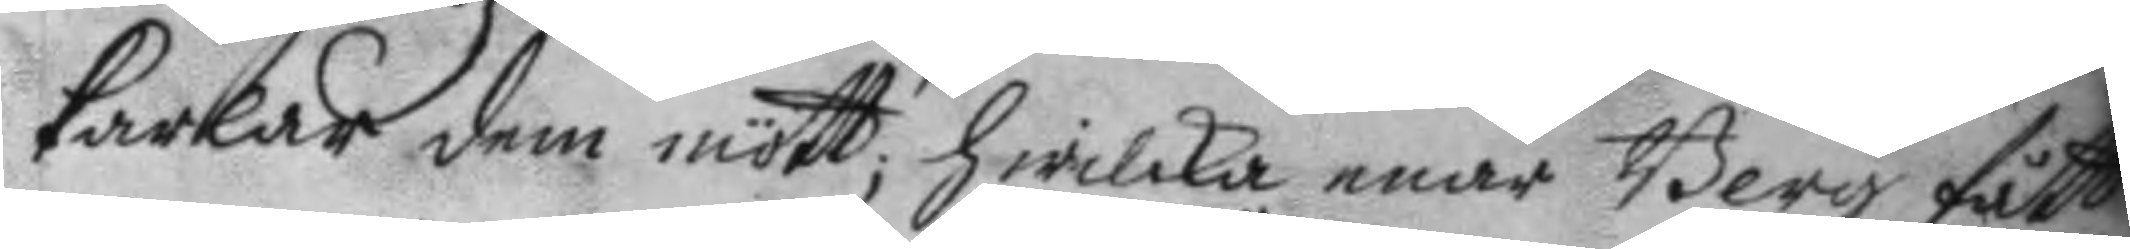karlar dem mött, hwilka enär Berg fått
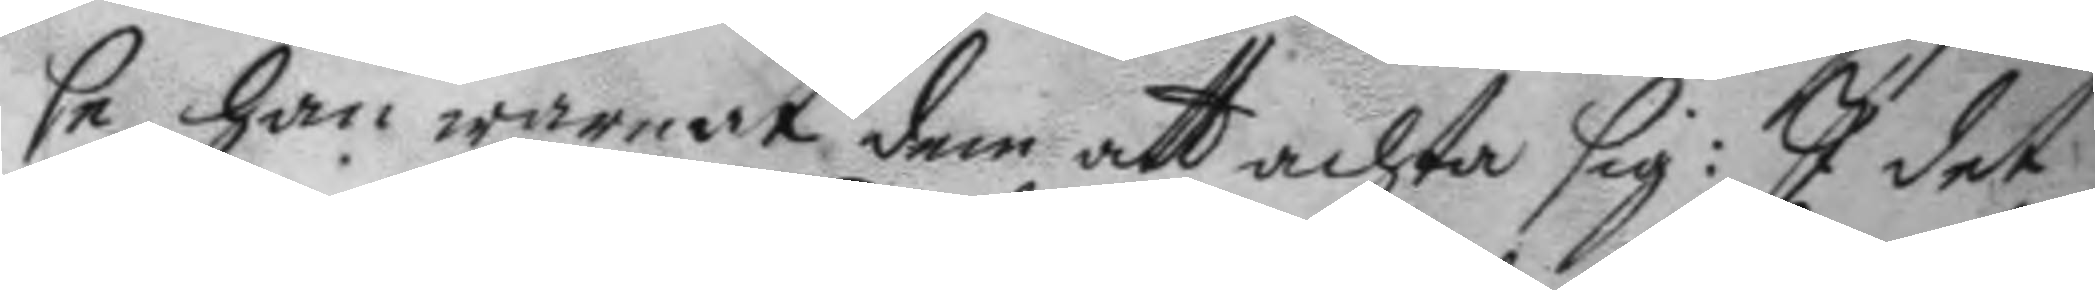se, han warnat dem att achta sig: I det
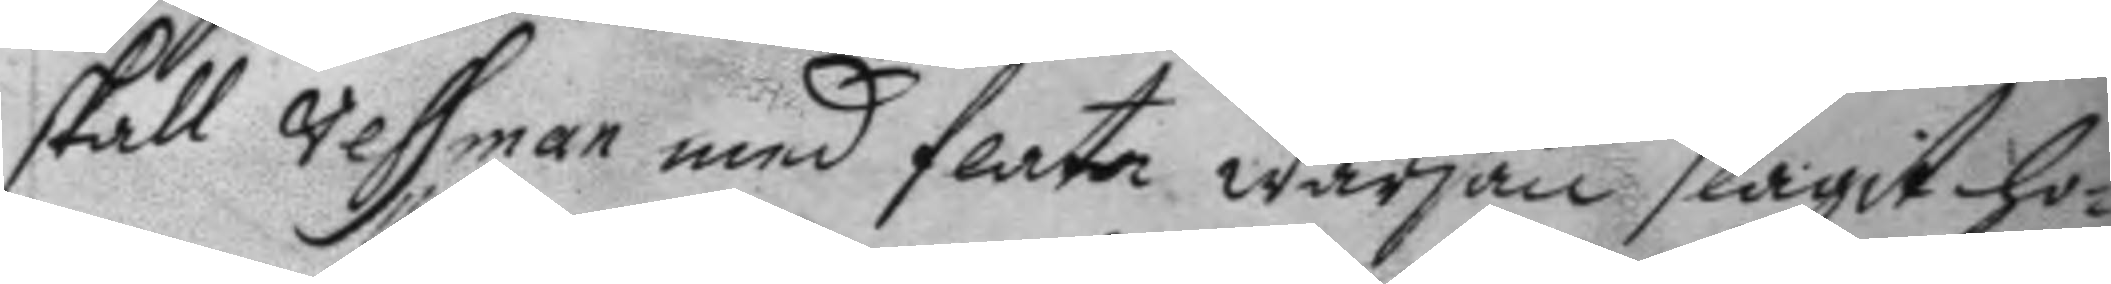skall Vessman med flata wärjan slagit ho¬
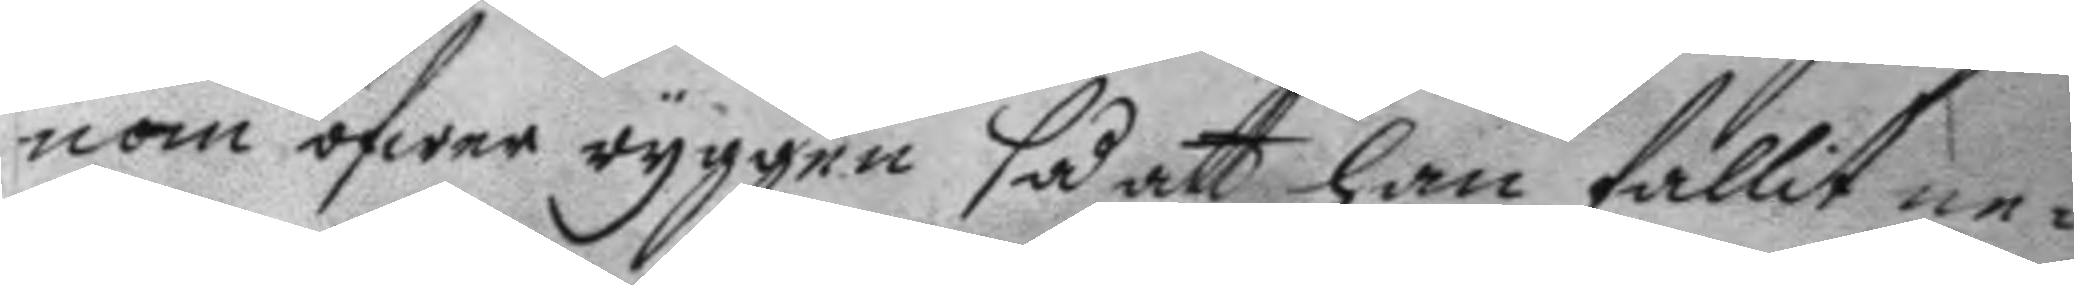nom öfwer ryggen så att han fallit ne¬
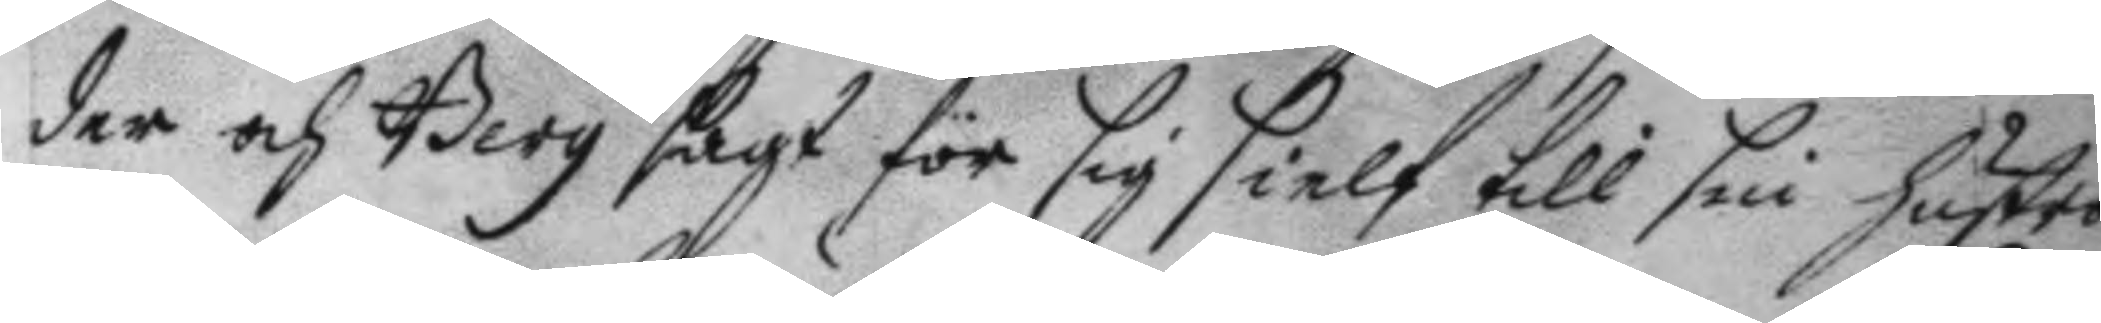der och Berg sagt för sig sielf till sin hustro
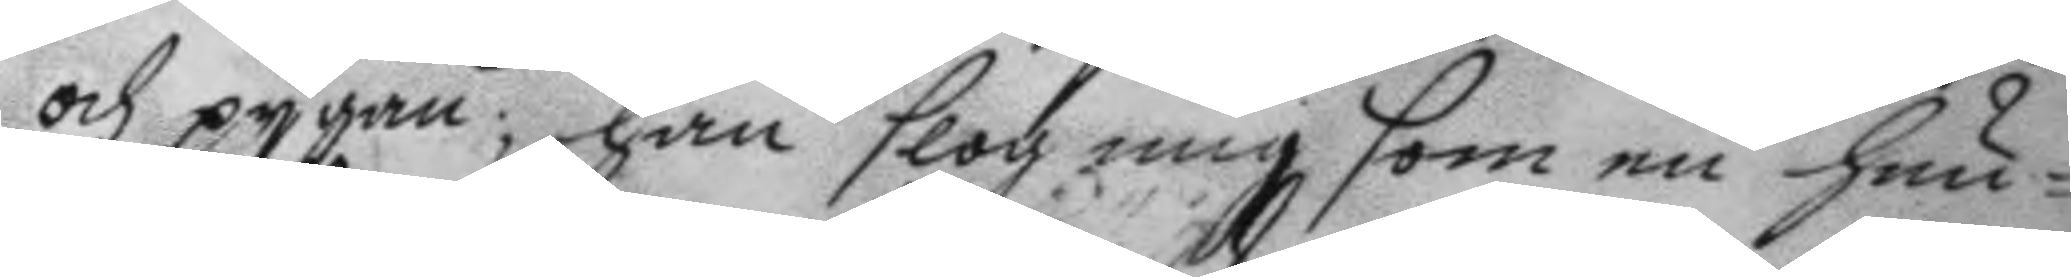och pygan; han slog mig som en hun¬
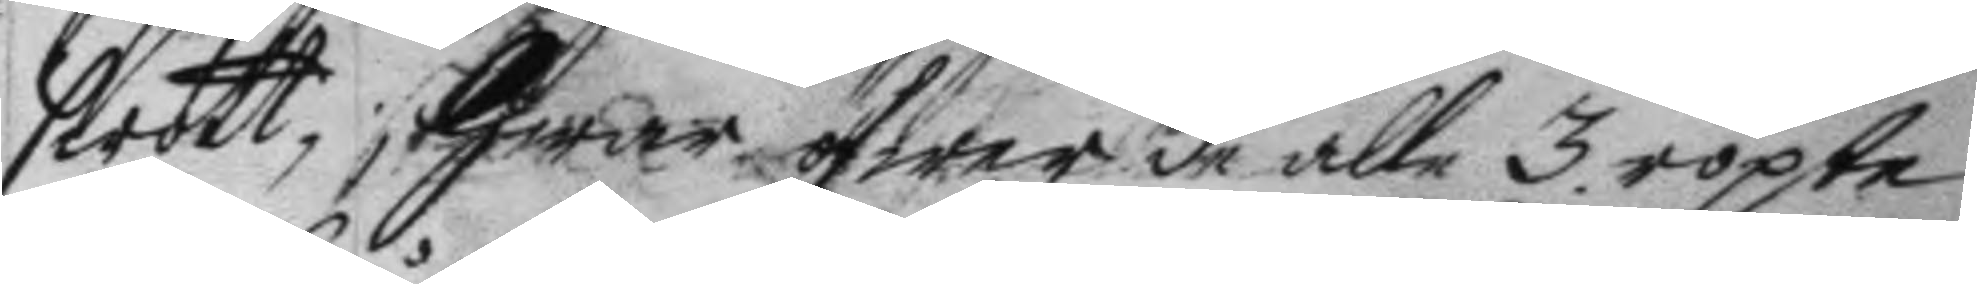swott, Hwar öfwer de alle 3 ropte
